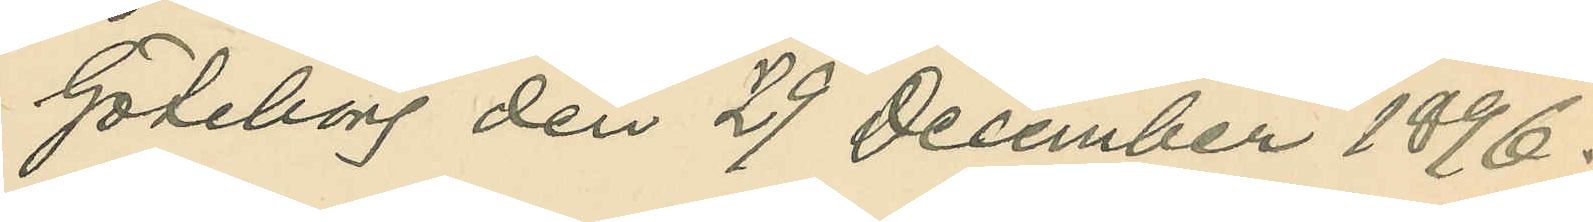Göteborg den 29 December 1896.
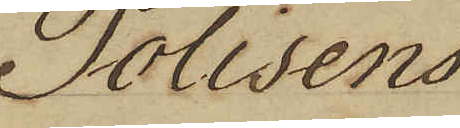Polisens
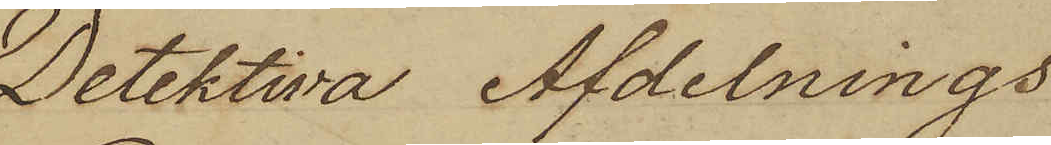Detektiva Afdelnings
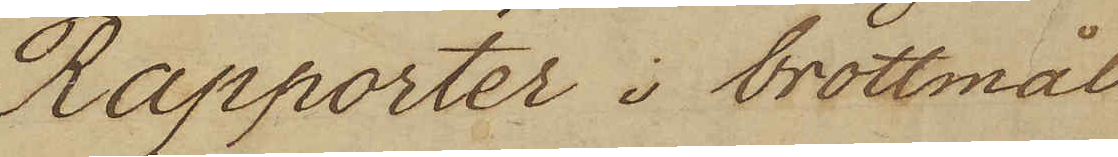Rapporter i brottmål
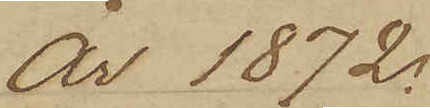År 1872.
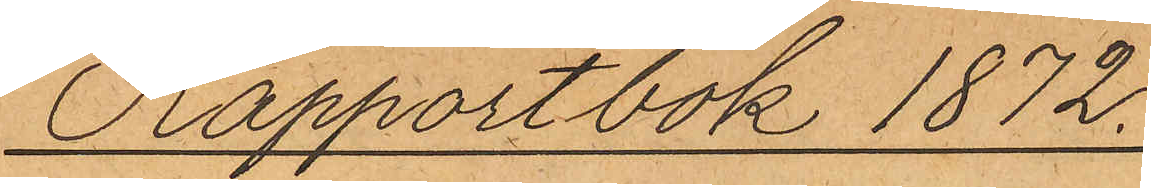Rapportbok 1872.
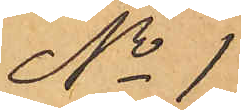No 1
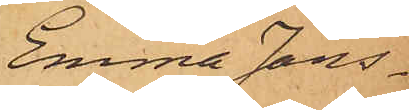Emma Jans¬
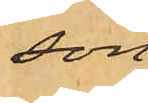son.
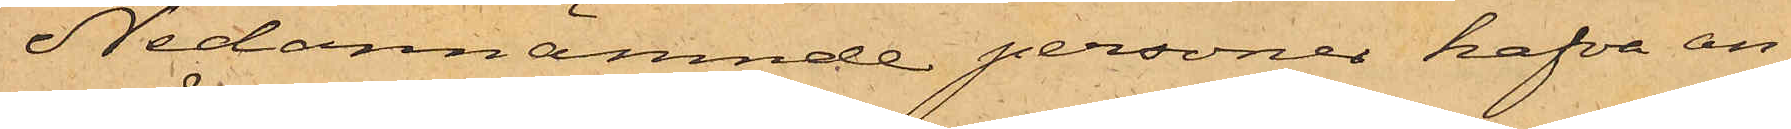Nedannämnde personer hafva an¬
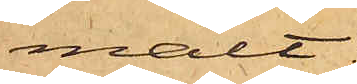mält:
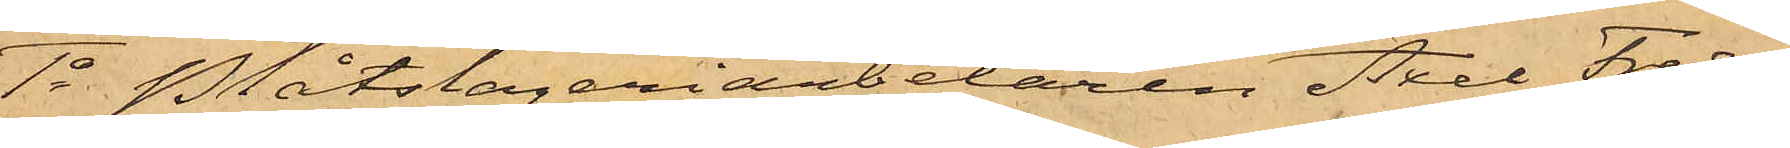1o Plåtslageriarbetaren Axel Fredrik
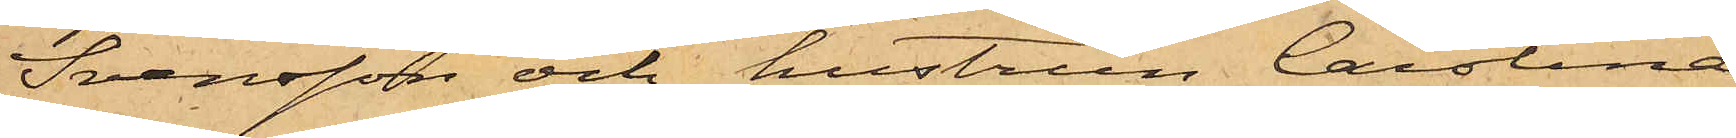Svensson och hustrun Carolina
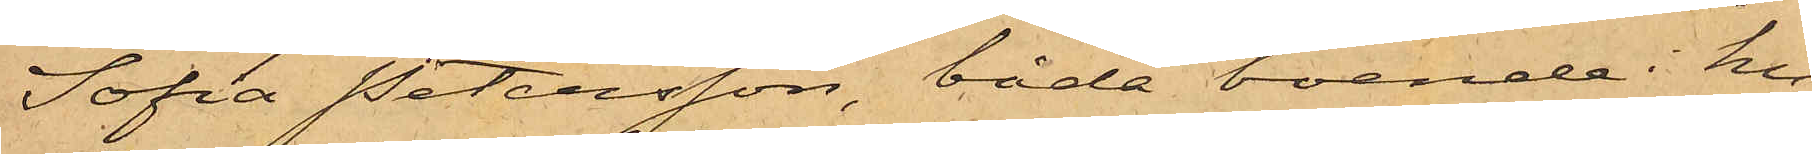Sofia Petersson, båda boende i hu¬
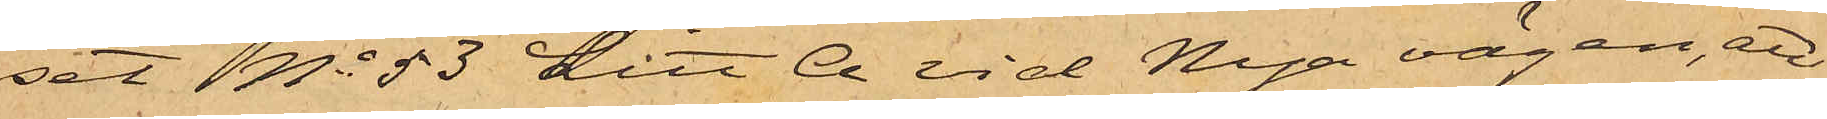set No 53 Litt A vid Nya vägen, att
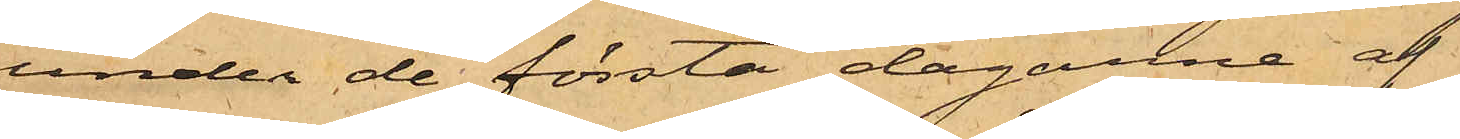under de första dagarne af
